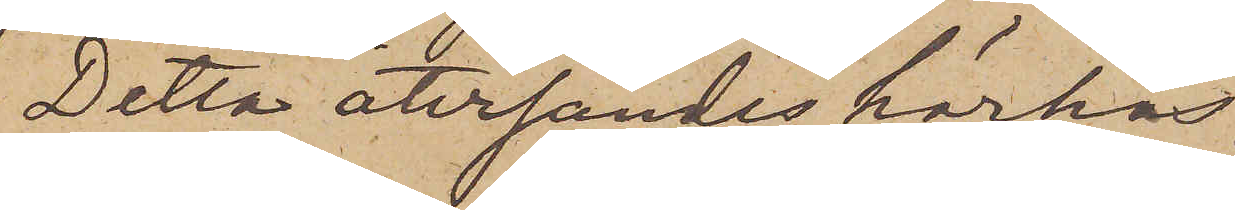Detta återsändes härhos.
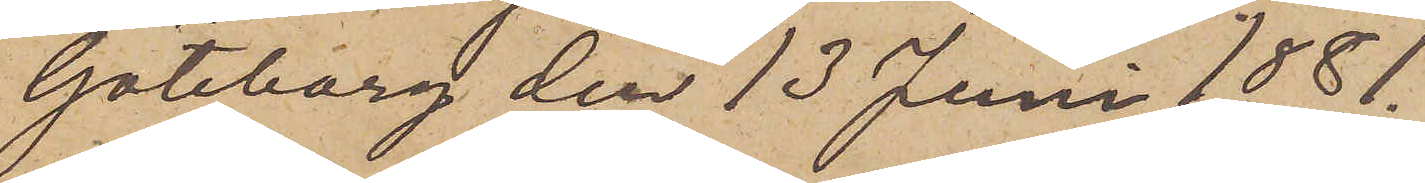Göteborg den 13 Juni 1881.
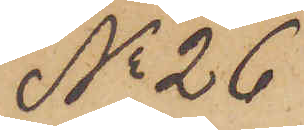No 26
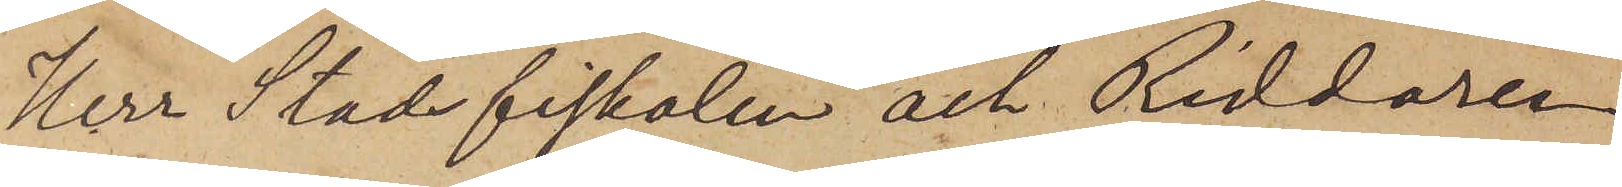Herr Stadsfiskalen och Riddaren
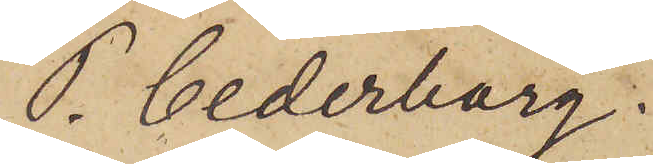P. Cederborg.
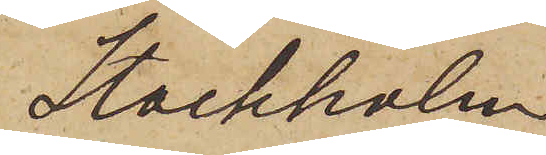Stockholm
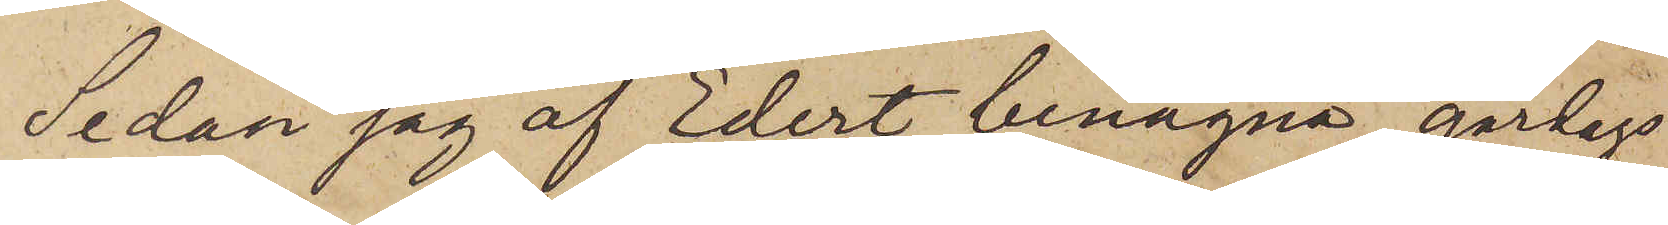Sedan jag af Edert benägna gårdags
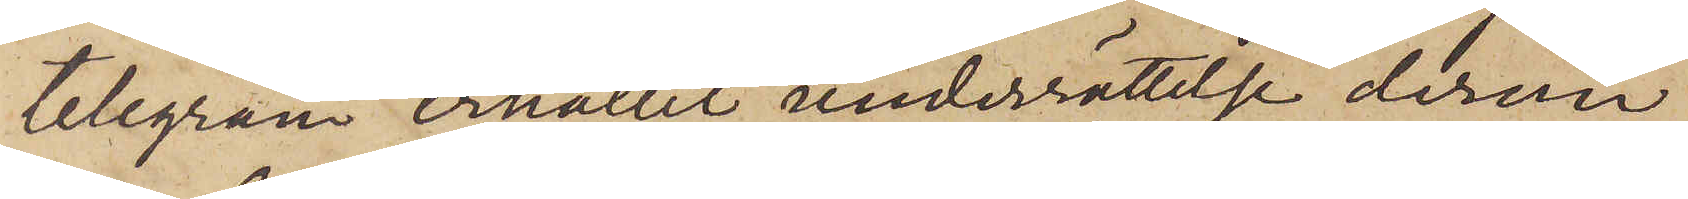telegram erhållit underrättelse derom,
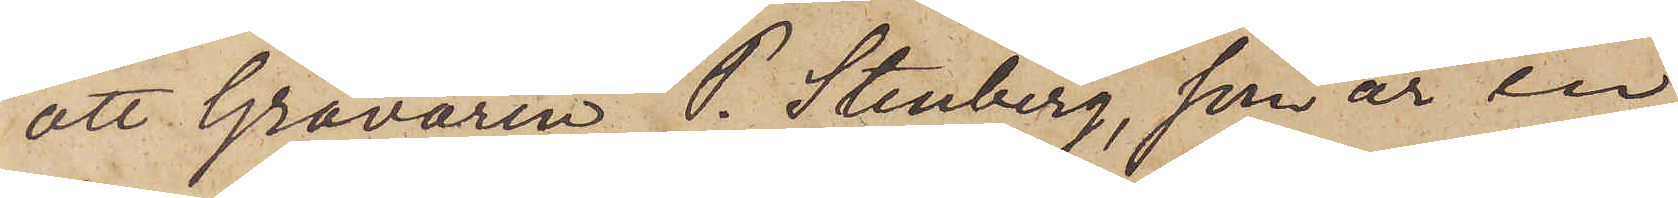att Gravören P. Stenberg, som är en
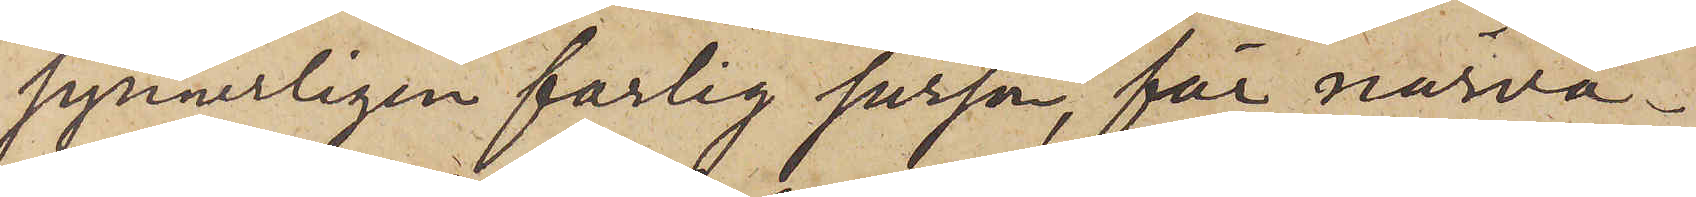synnerligen farlig person, för närva¬
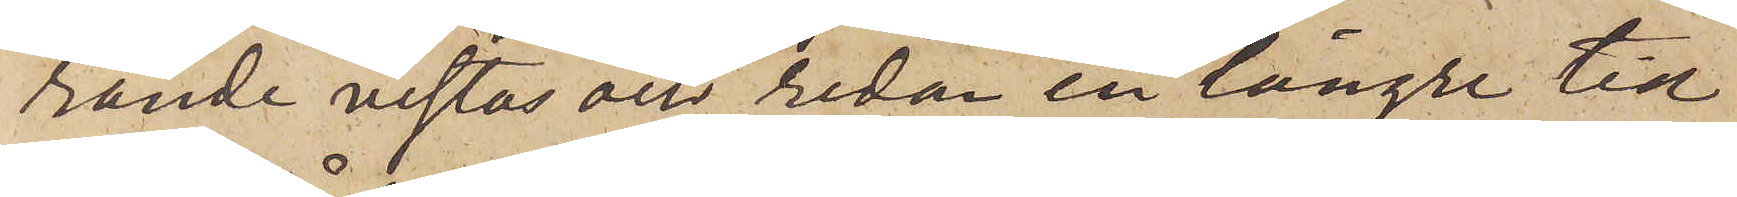rande vistas och sedan en längre tid
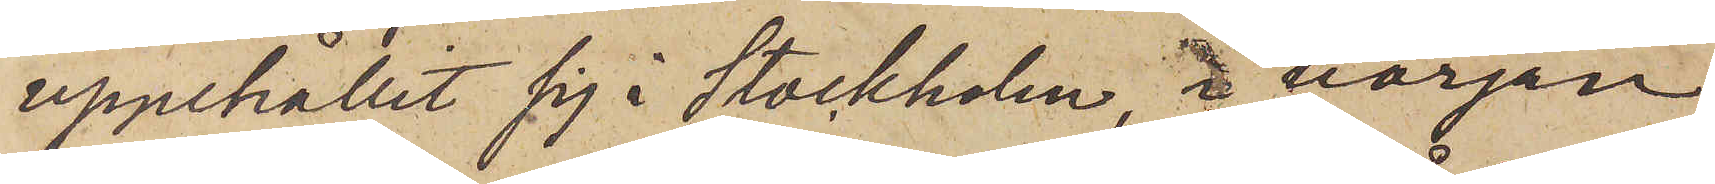uppehållit sig i Stockholm, i början
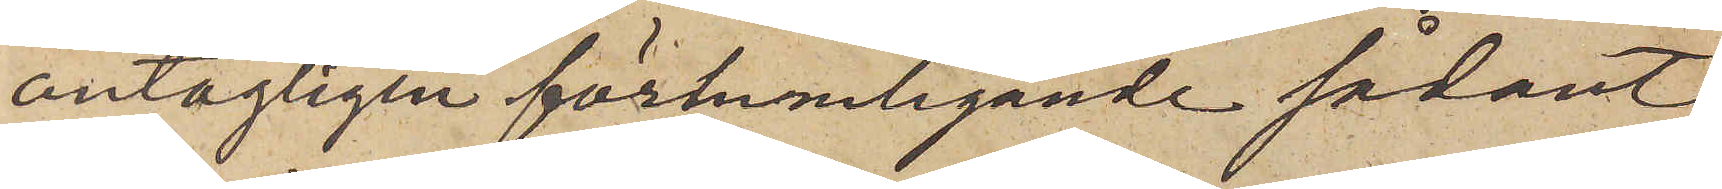antagligen förhemligande sådant,
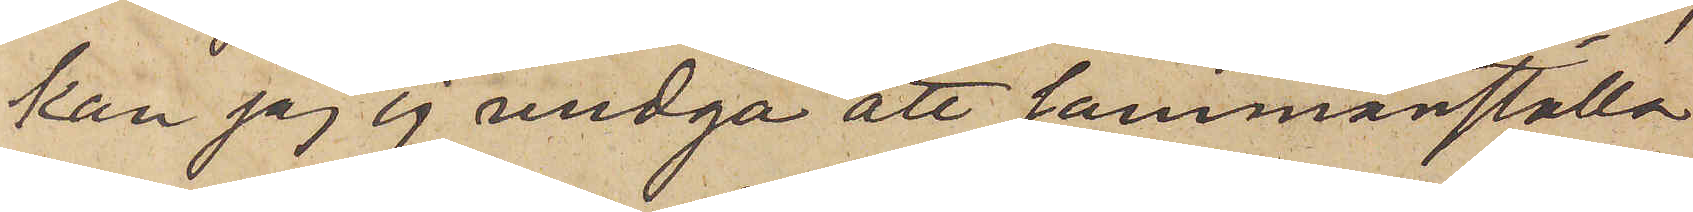kan jag ej undgå att sammanställa
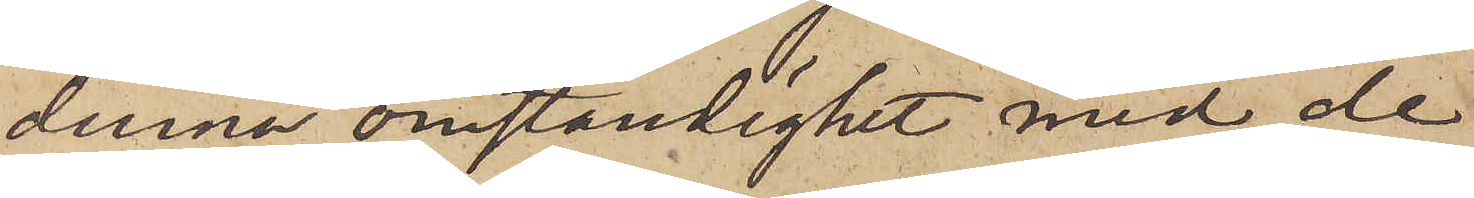denna omständighet med de
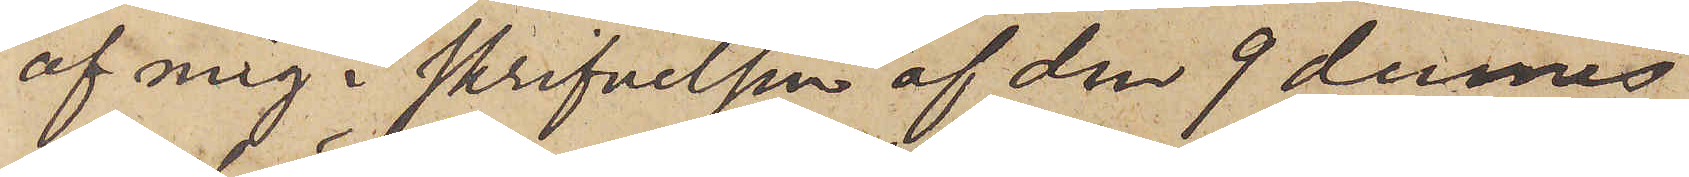af mig i skrifvelsen af den 9 dennes
